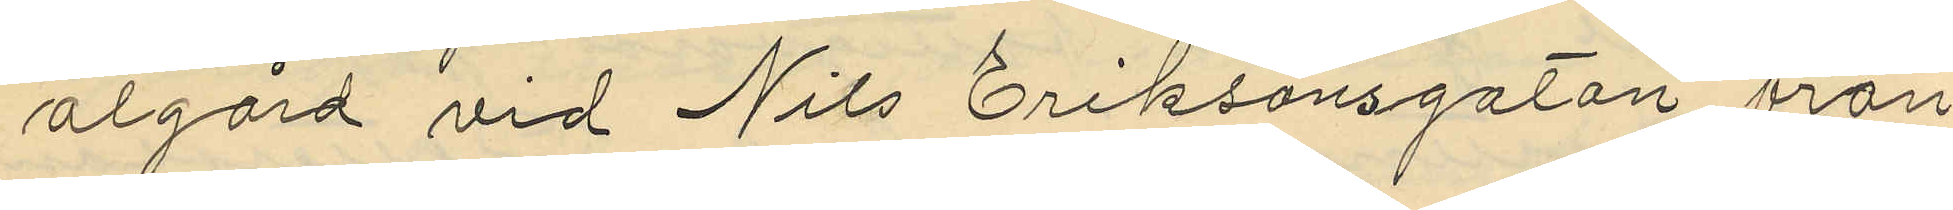algård vid Nils Eriksonsgatan från
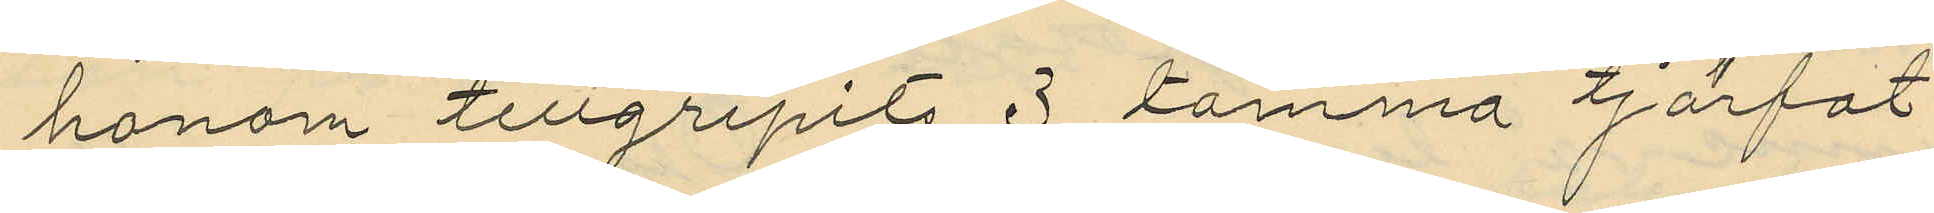honom tillgripits 3 tomma tjärfat
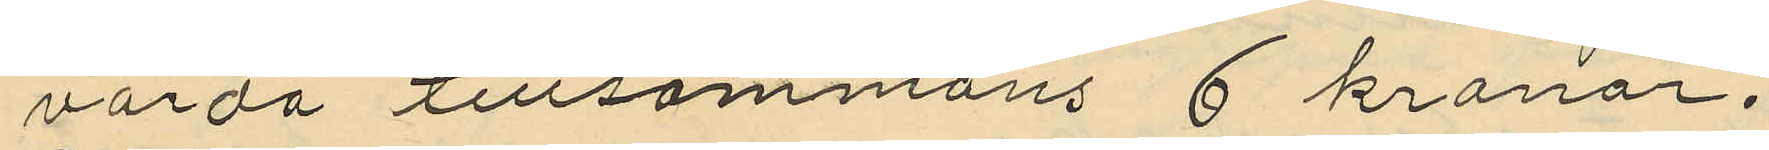värda tillsammans 6 kronor.
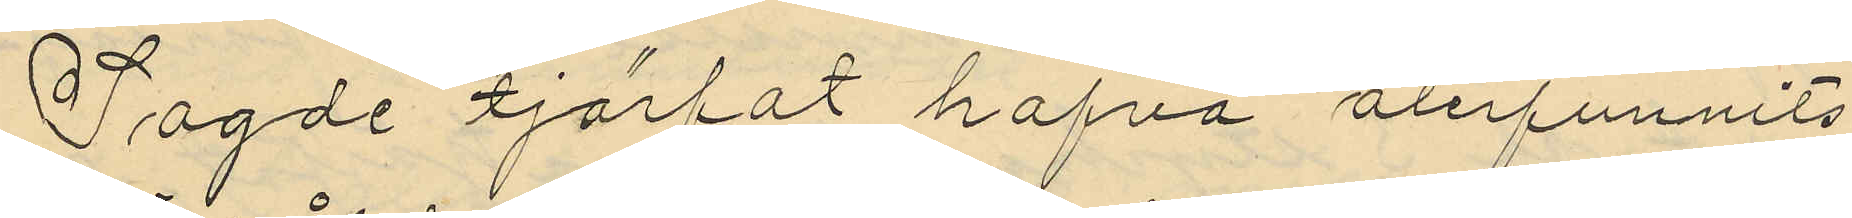Sagde tjärfat hafva återfunnits
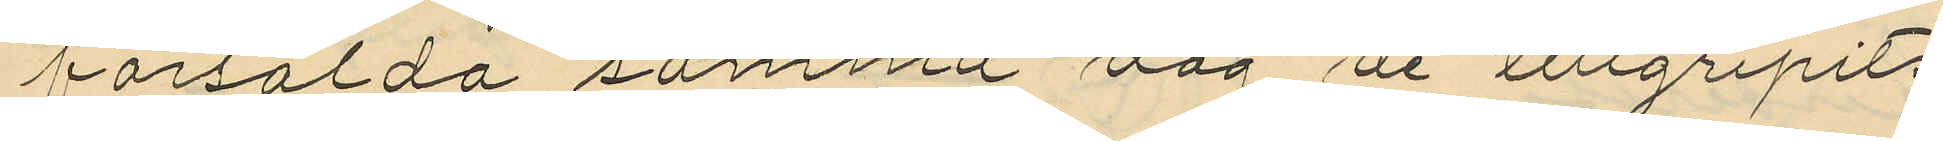försålda samma dag de tillgripits
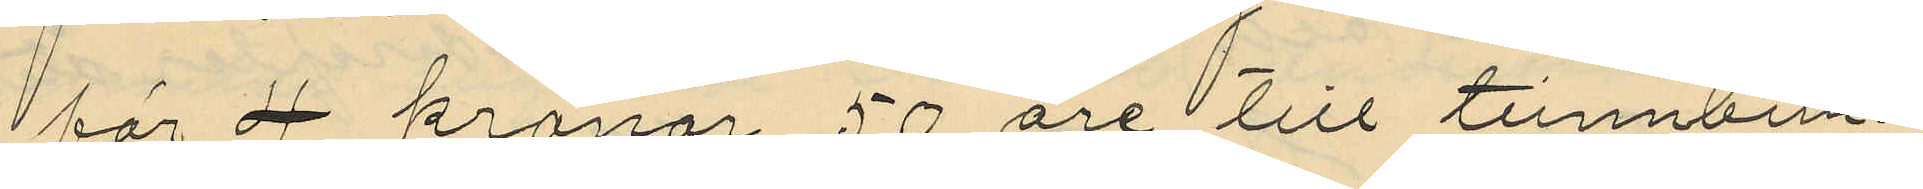för 4 kronor 50 öre till tunnbin¬
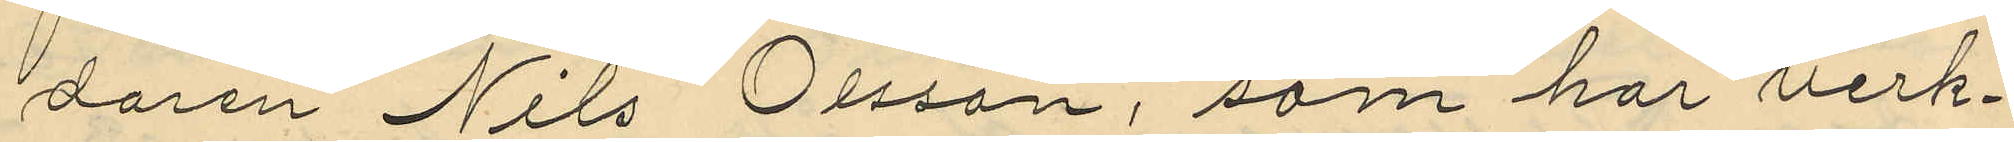daren Nils Olsson, som har verk¬
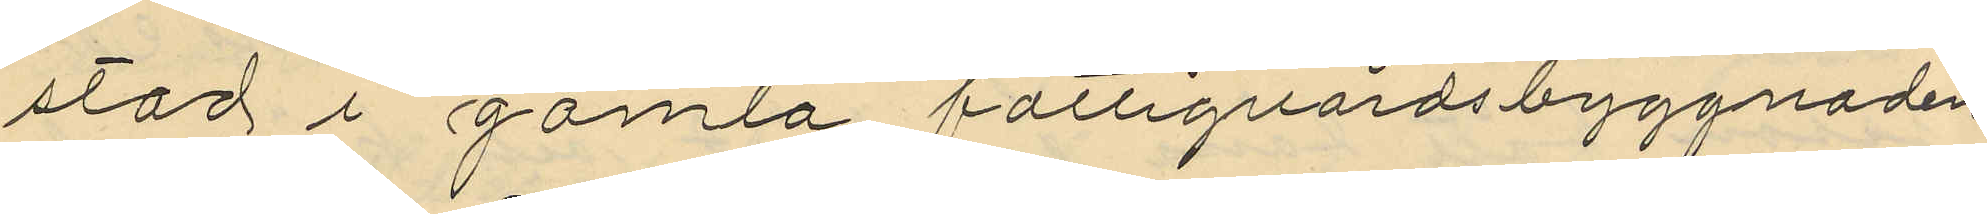stad i gamla fattigvårdsbyggnaden
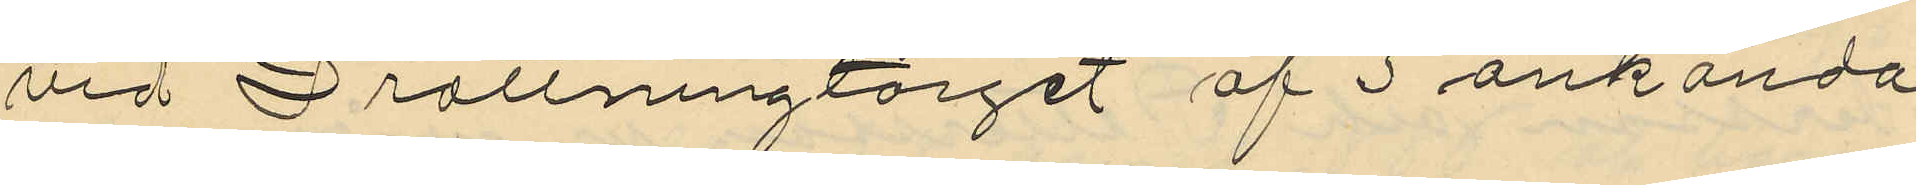vid Drottningtorget af 3 okända
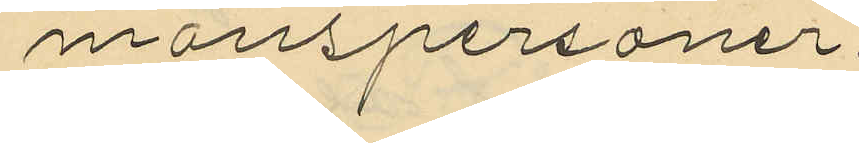manspersoner.
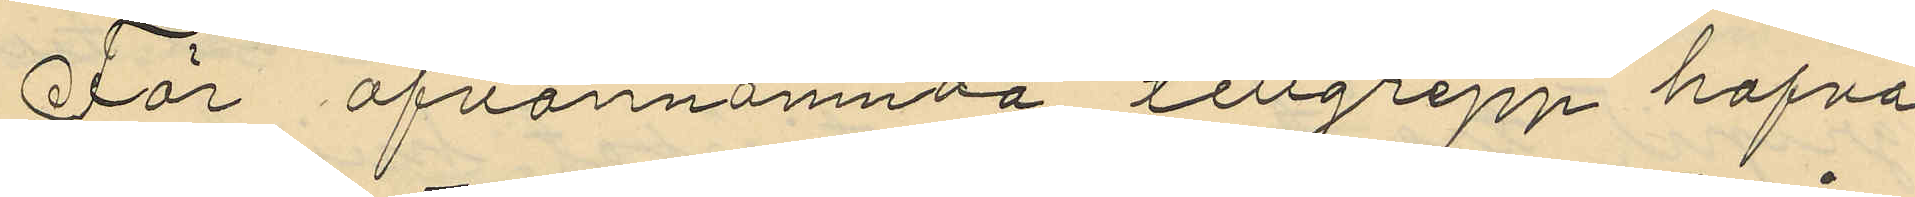För ofvannämnda tillgrepp hafva
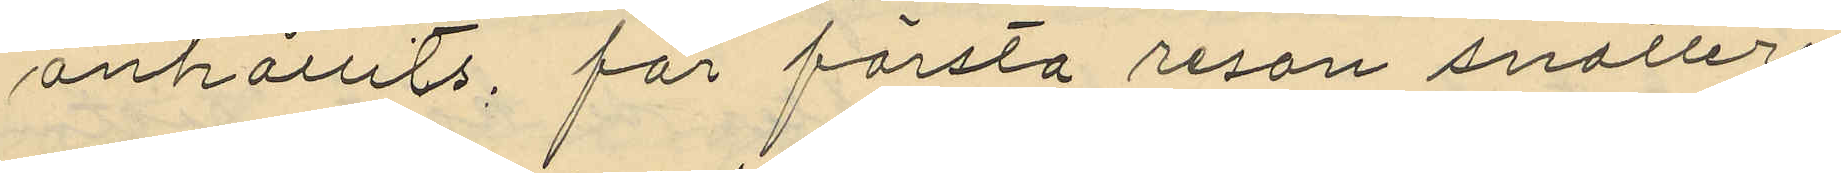anhållits, för första resan snatteri
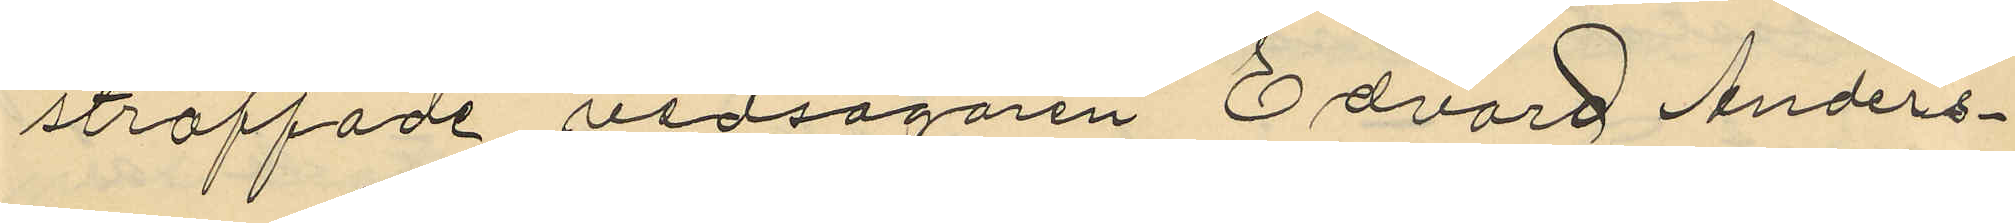straffade vedsågaren Edvard Anders¬
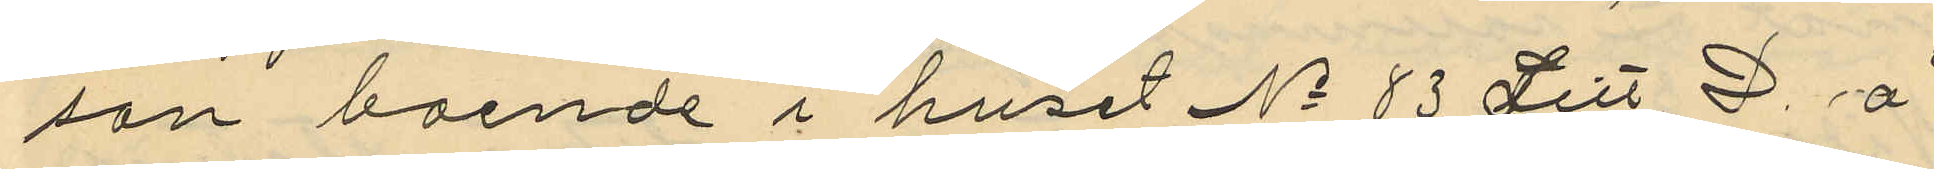son boende i huset No 83 Litt D. å
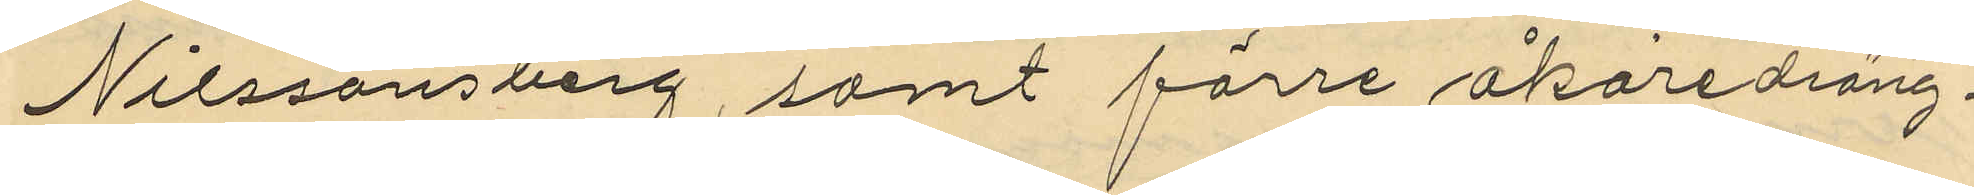Nilssonsberg, samt förre åkaredräng¬
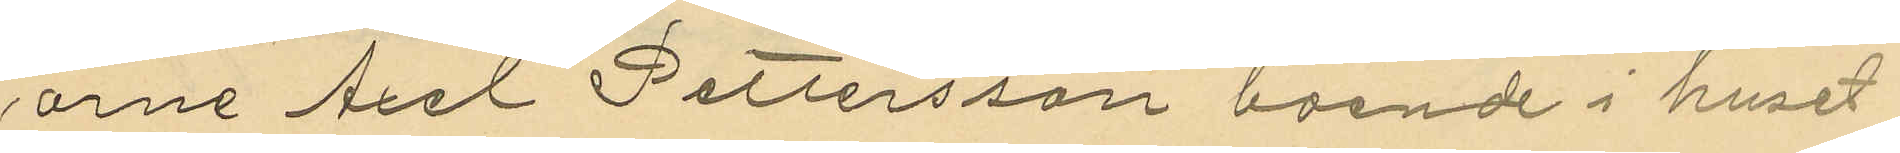arne Axel Pettersson boende i huset
